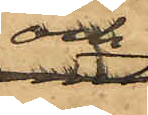och
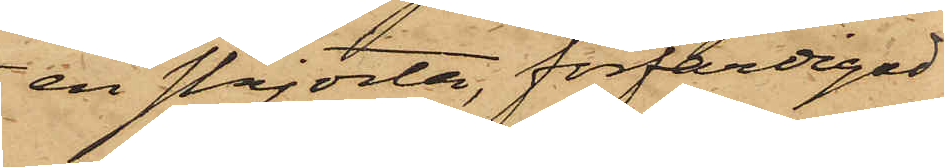en skjorta, förfärdigad
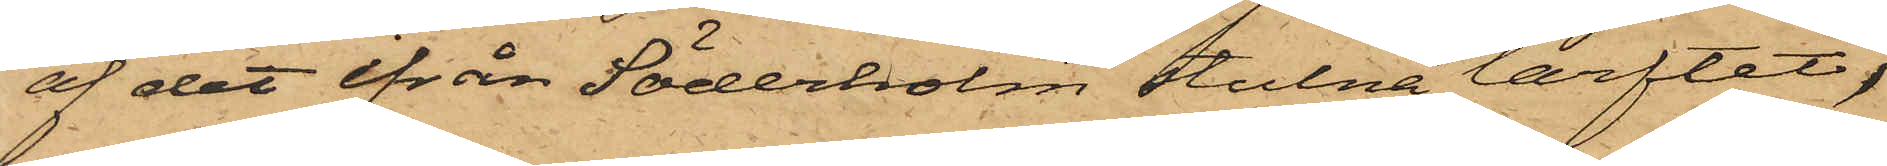af det ifrån Söderholm stulna lärftet,
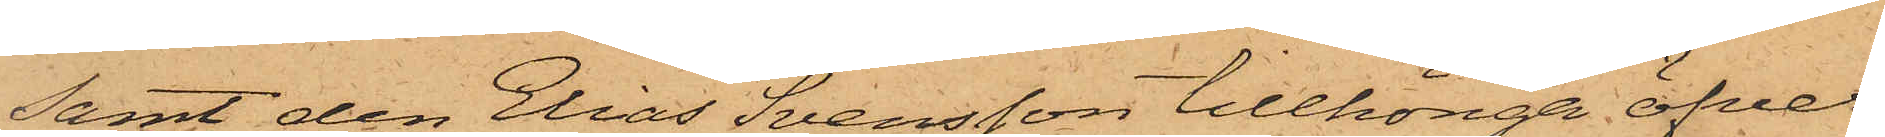samt den Elias Svensson tillhöriga öfver¬
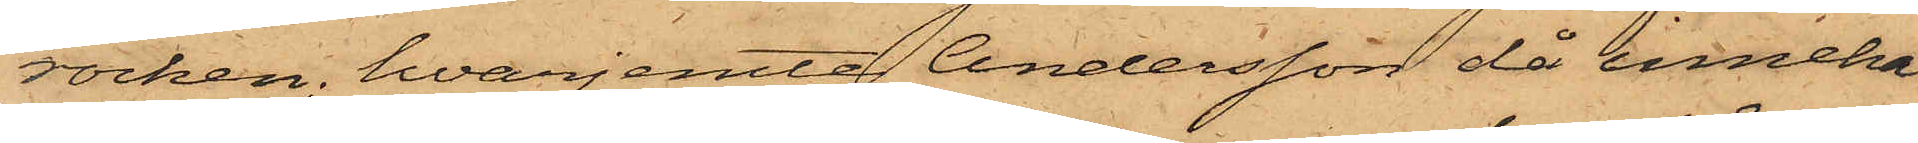rocken, hvarjemte Andersson då inneha¬
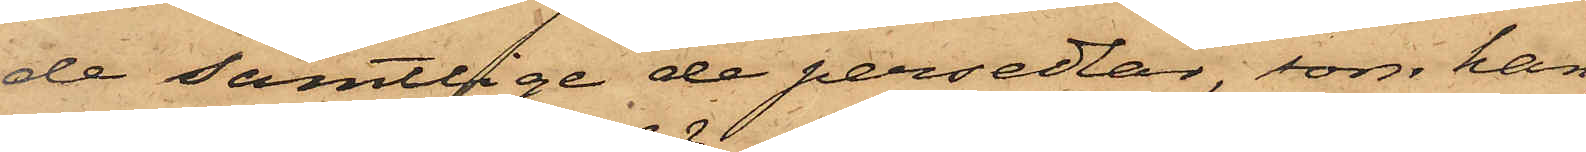de samtlige de persedlar, som han
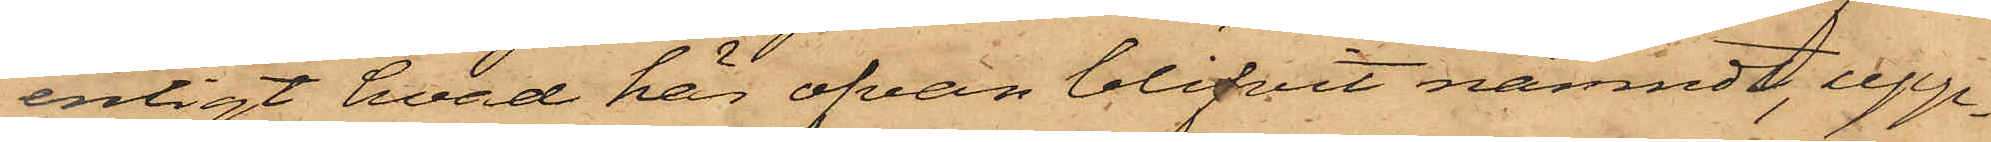enligt hvad här ofvan blifvit nämndt, upp¬
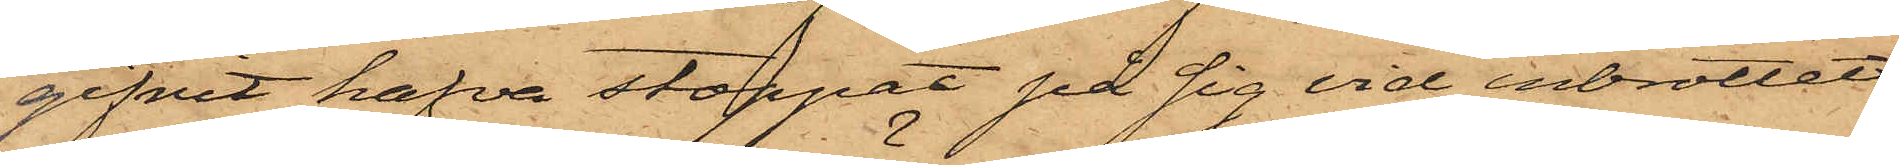gifvit hafva stoppat på sig vid inbrottet
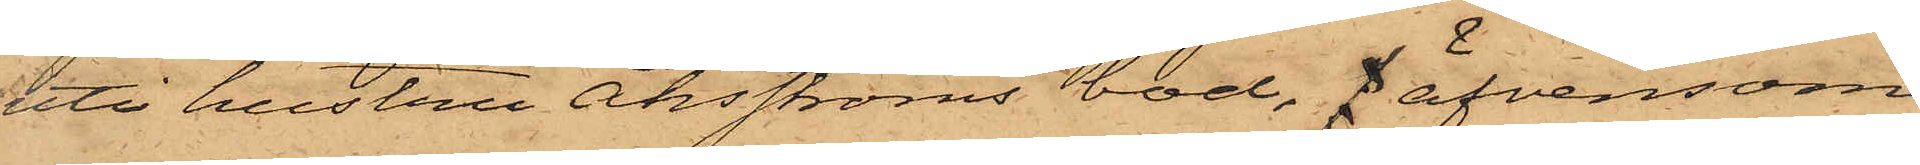uti hustru Åhsströms bod, f äfvensom
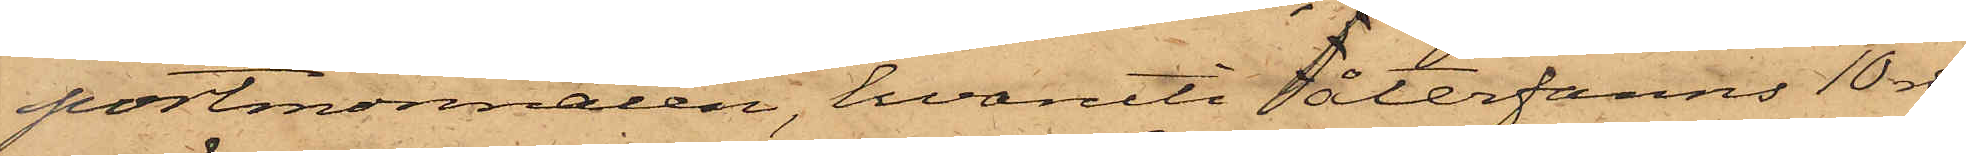portmonnaien, hvaruti återfanns 10 rdr
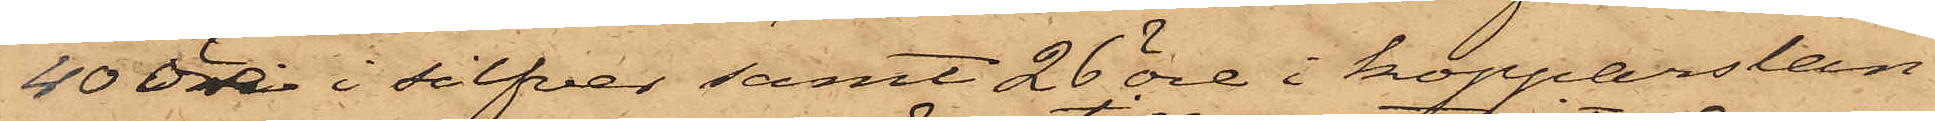40 öre i silfver samt 26 öre i kopparslan¬
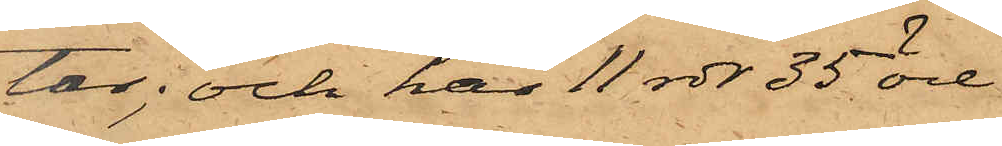tar; och har 11 rdr 35 öre
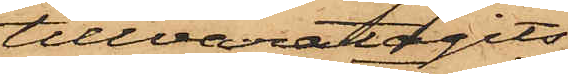tillvaratagits
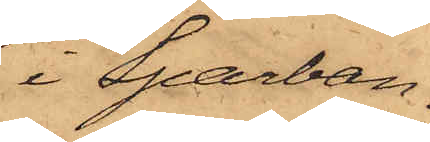i Sparban¬
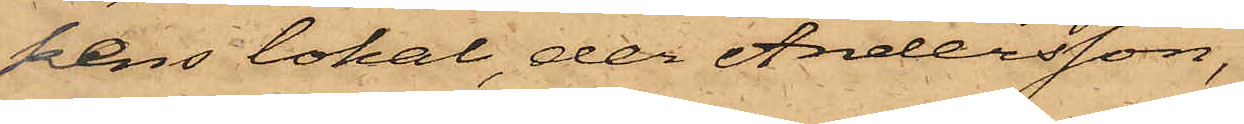kens lokal, der Andersson,
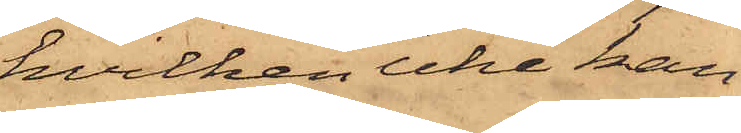hvilken icke kan
